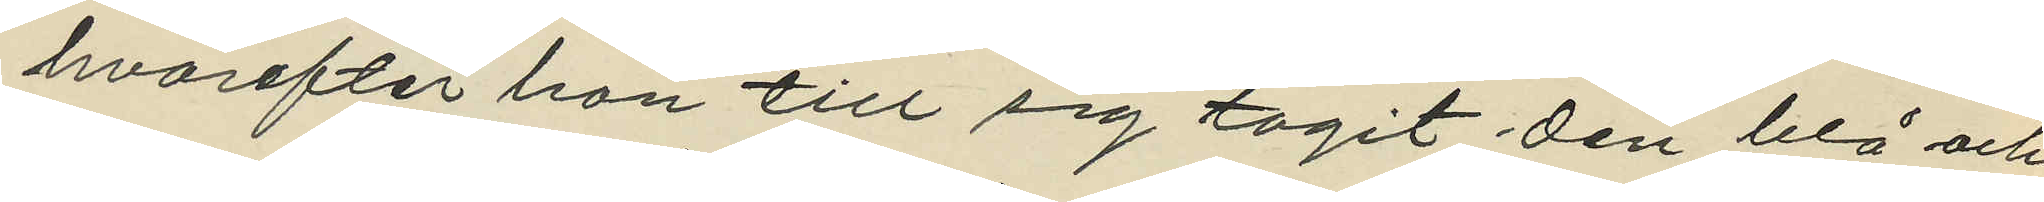hvarefter han till sig tagit den blå och
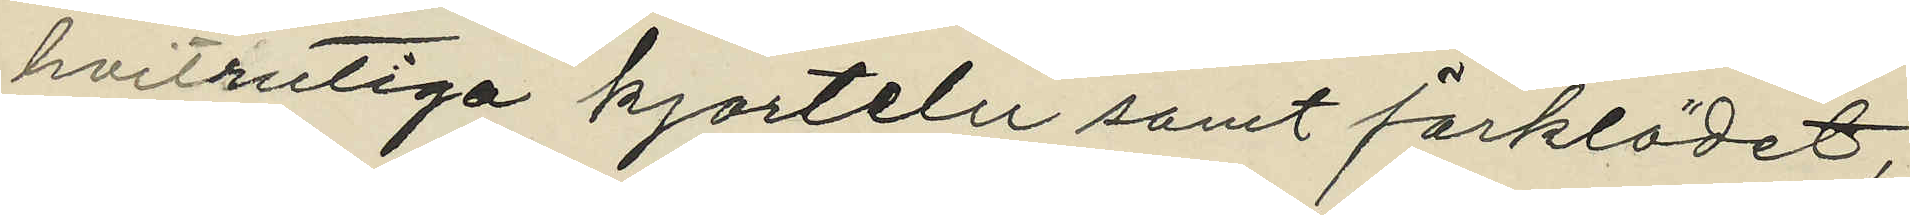hvitrutiga kjorteln samt förklädet,
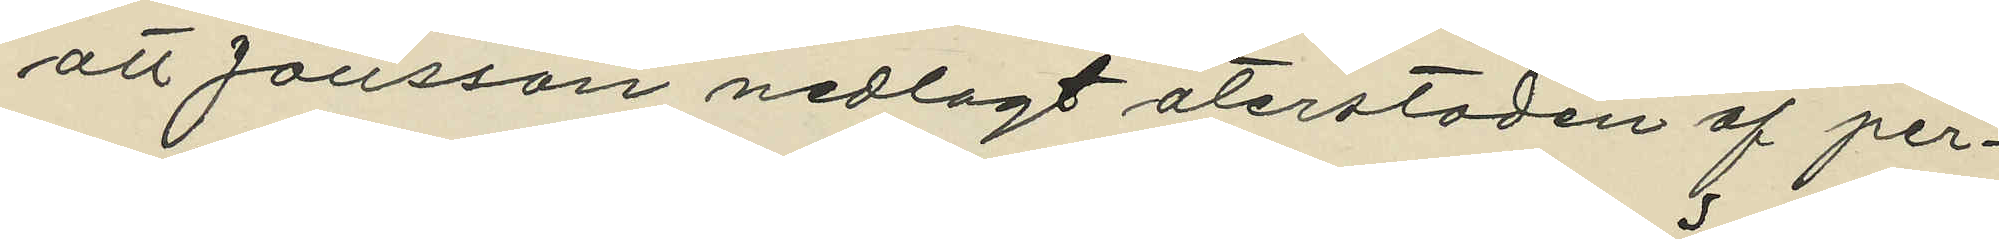att Jönsson nedlagt återstoden af per¬
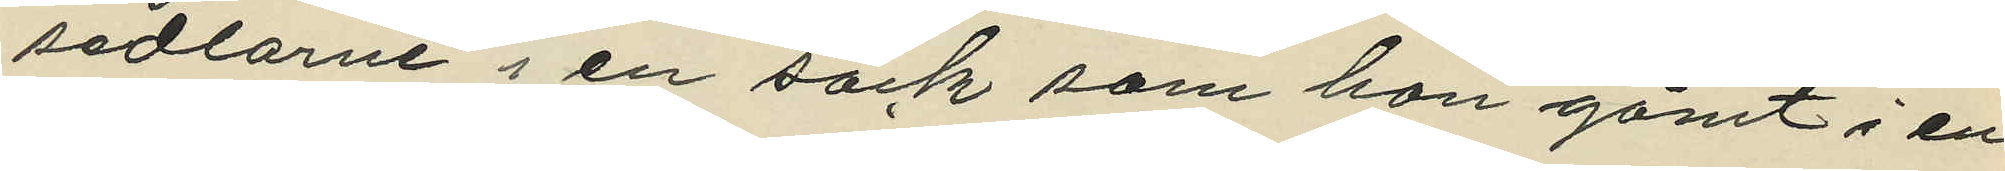sedlarne i en säck som han gömt i en
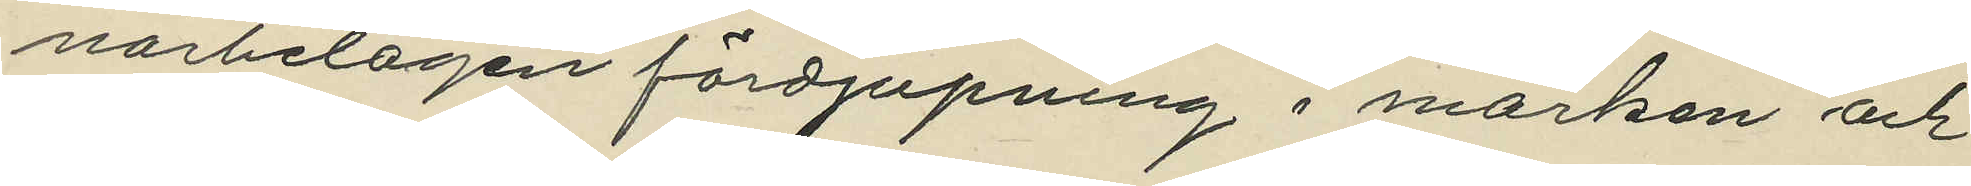närbelagen fördjupning i marken och
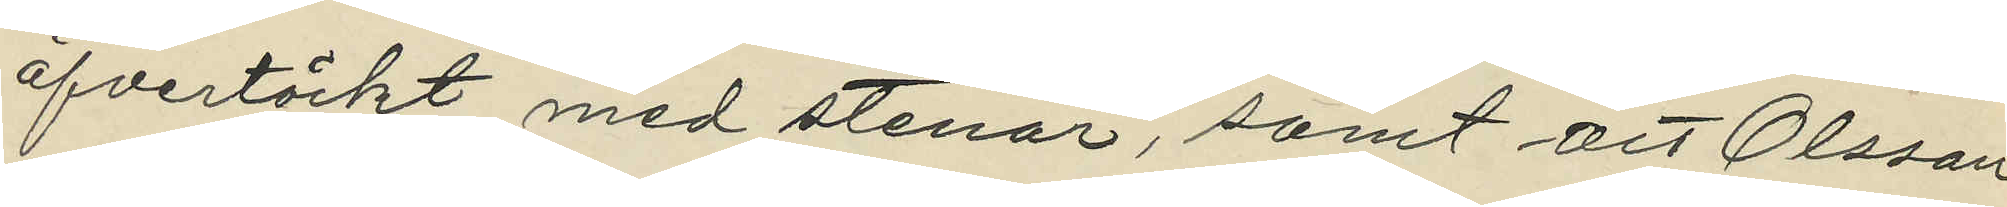öfvertäckt med stenar, samt att Olsson
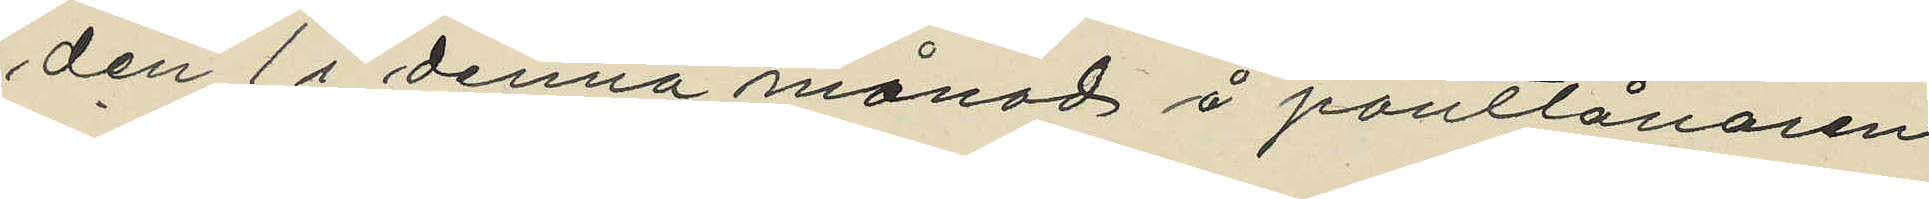den 1 i denna månad å pantlånaren
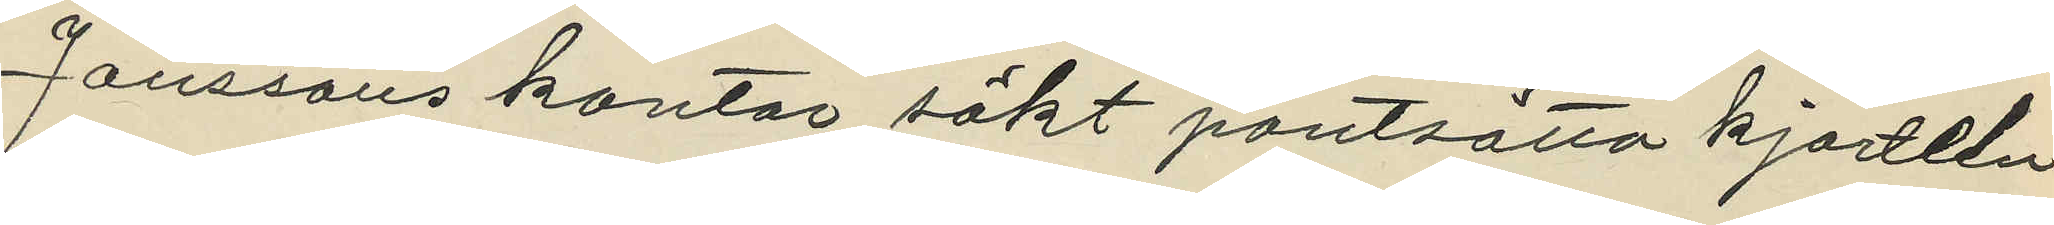Janssons kontor sökt pantsatta kjorteln
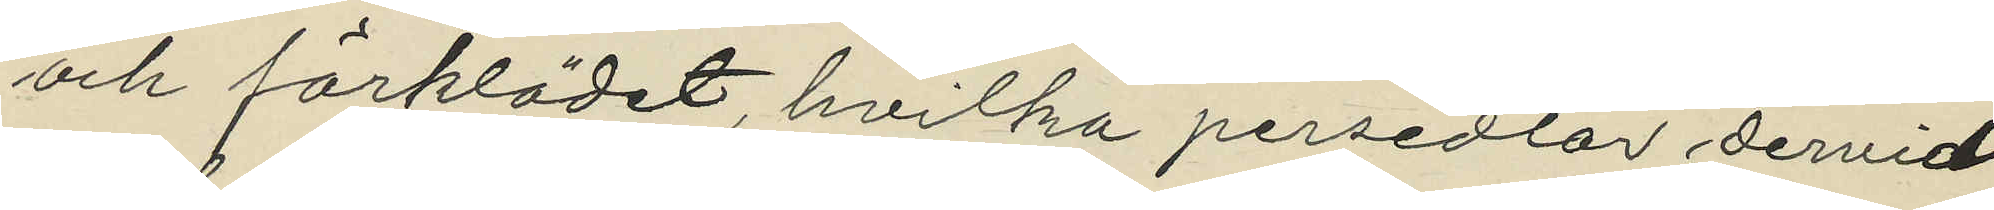och förklädet, hvilka persedlar dervid
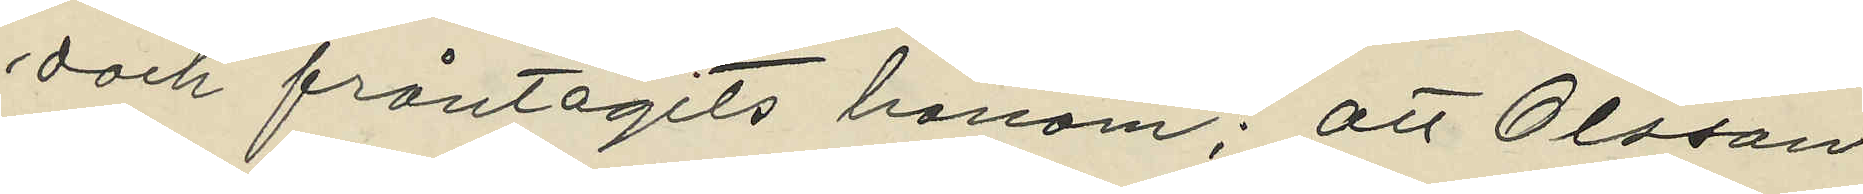dock fråntagits honom; att Olsson
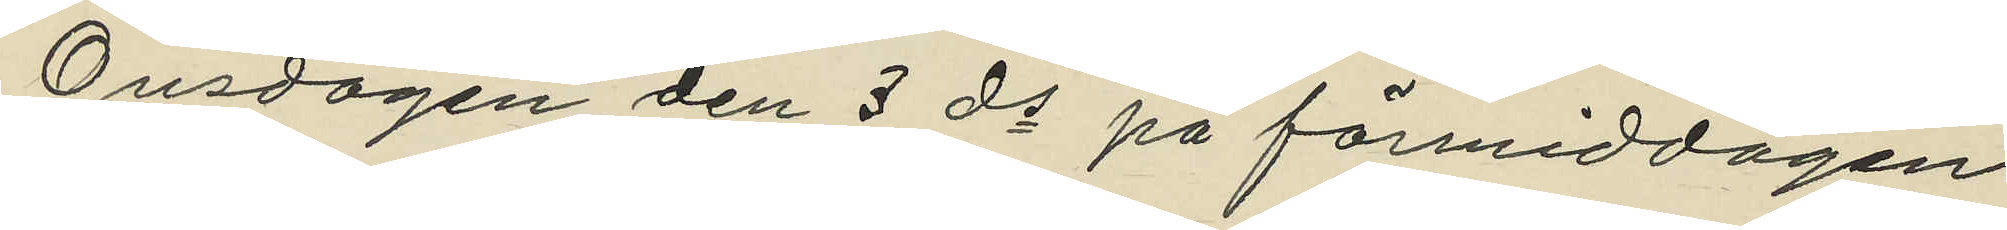Onsdagen den 3 ds på förmiddagen
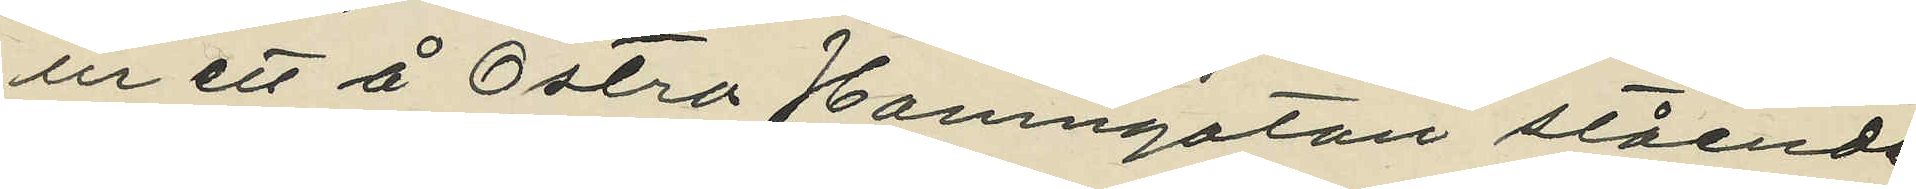ur ett å Östra Hamngatan stående
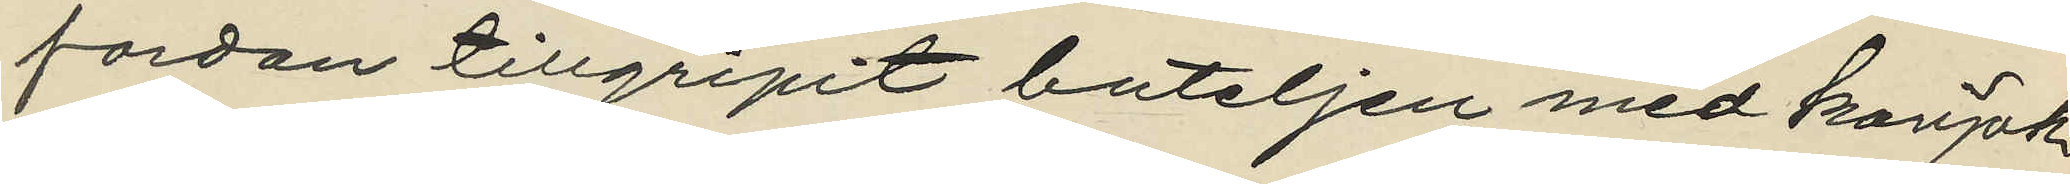fordon tillgripit buteljen med konjak
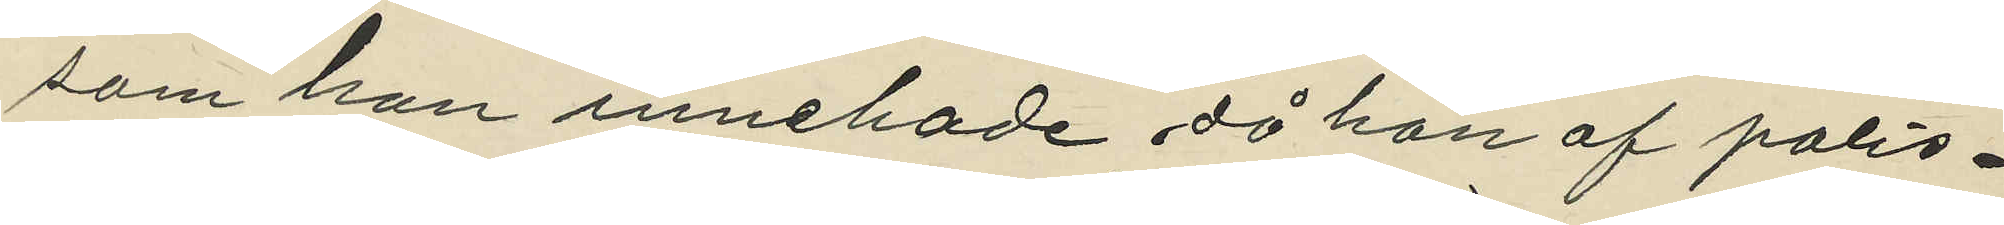som han innehade då han af polis¬
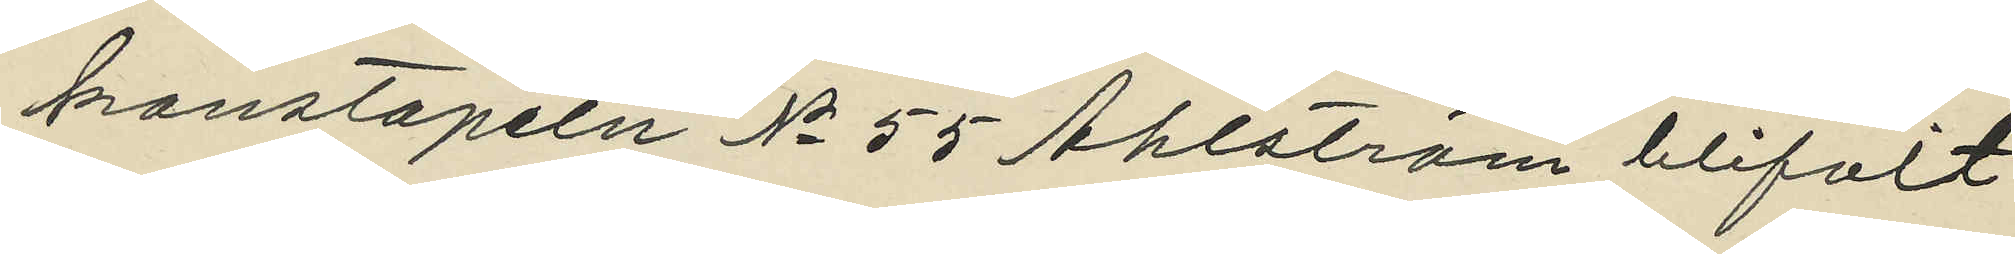konstapeln No 55 Ahlström blifvit
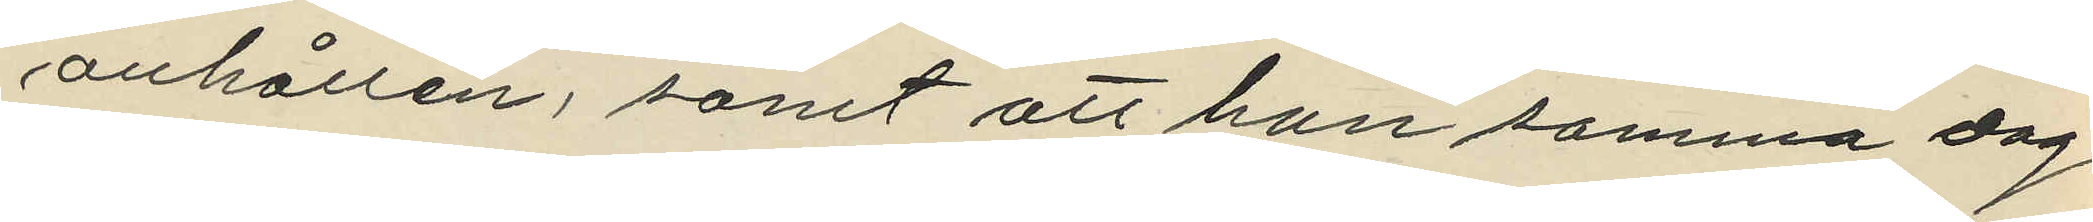anhållen, samt att han samma dag
